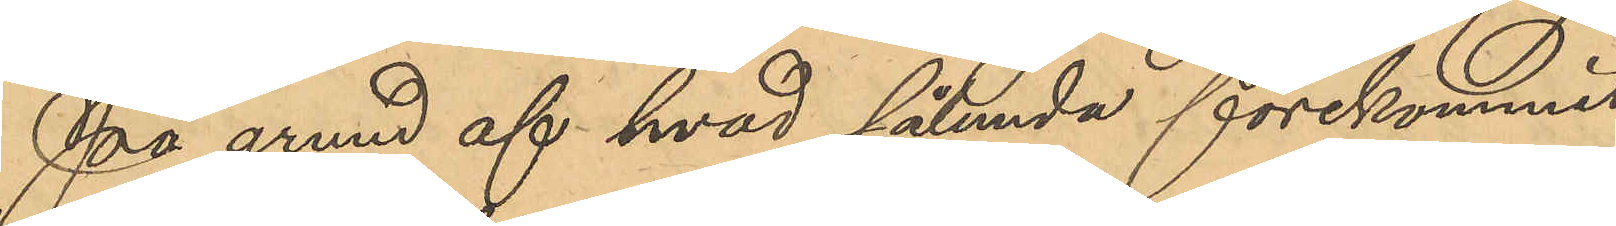På grund af hvad sålunda förekommit
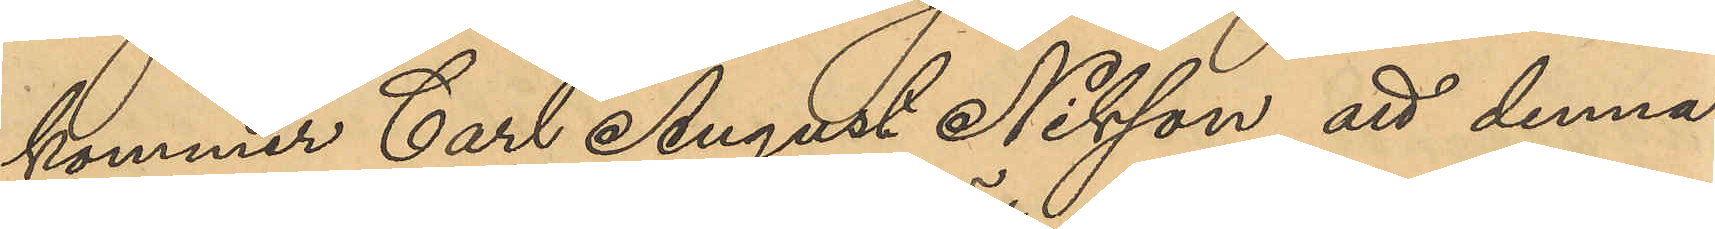kommer Carl August Nilsson att denna
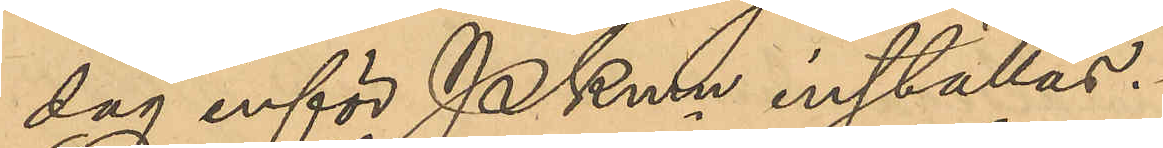dag inför PKmn inställas.
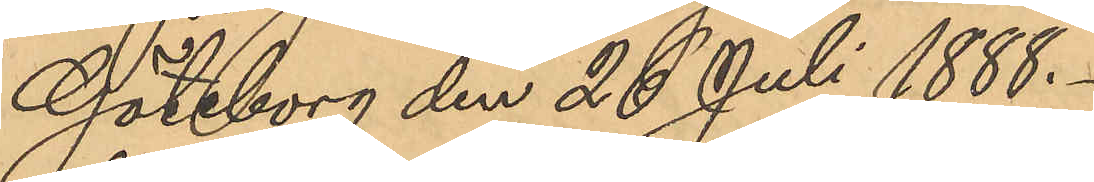Göteborg den 26 Juli 1888.
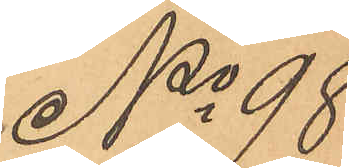No 98
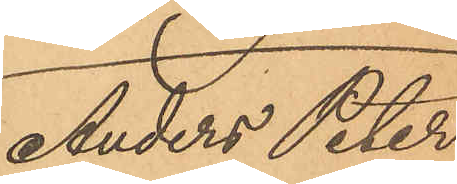Anders Peter
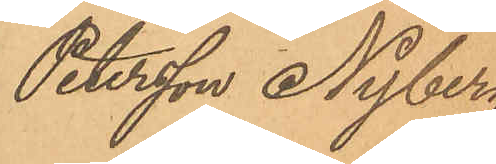Petersson Nyberg
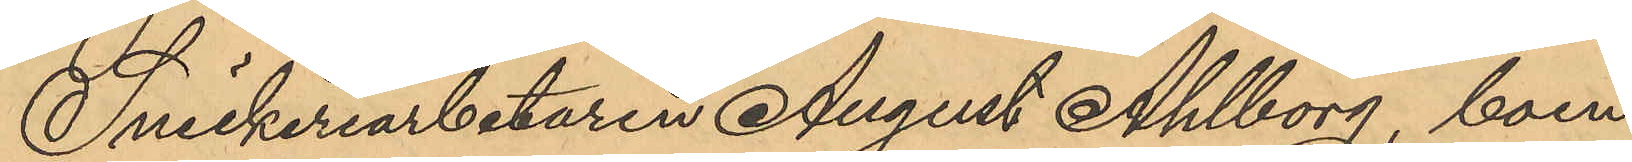Snickeriarbetaren August Ahlborg, boen¬
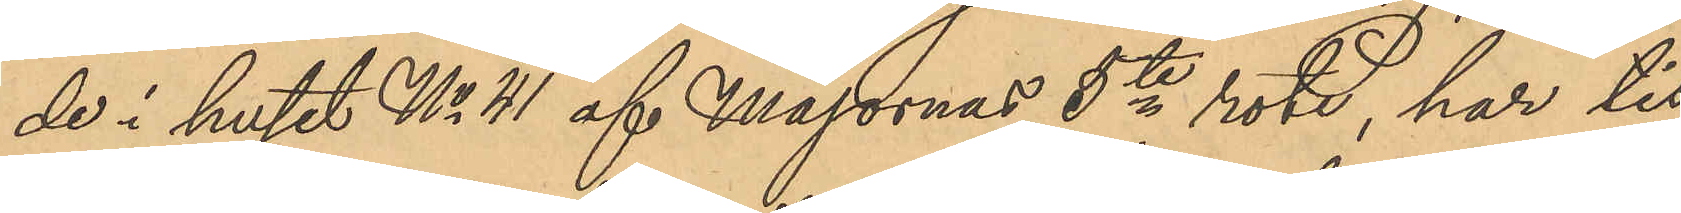de i huset No 41 af Majornas 5te rote, har tis¬
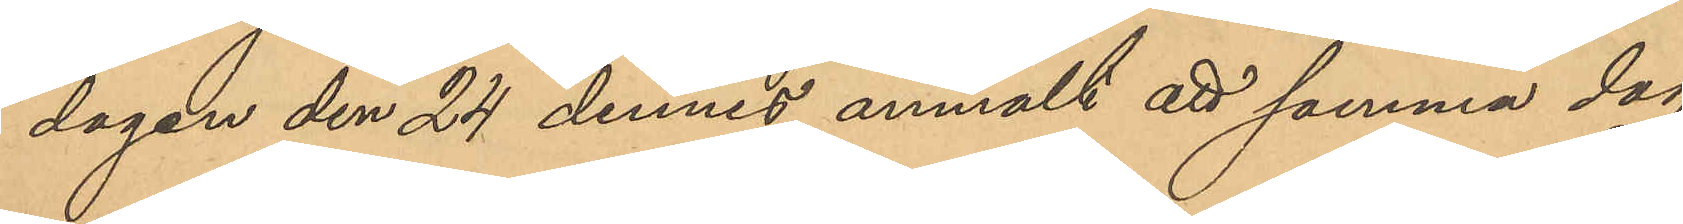dagen den 24 dennes anmält att samma dag
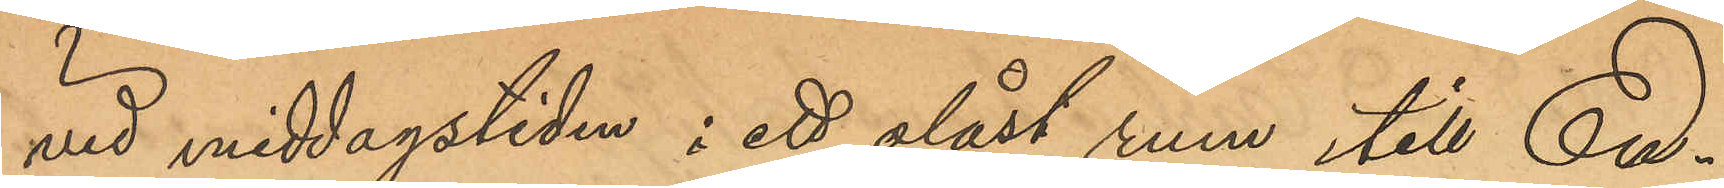vid middagstiden i ett olåst rum till En¬
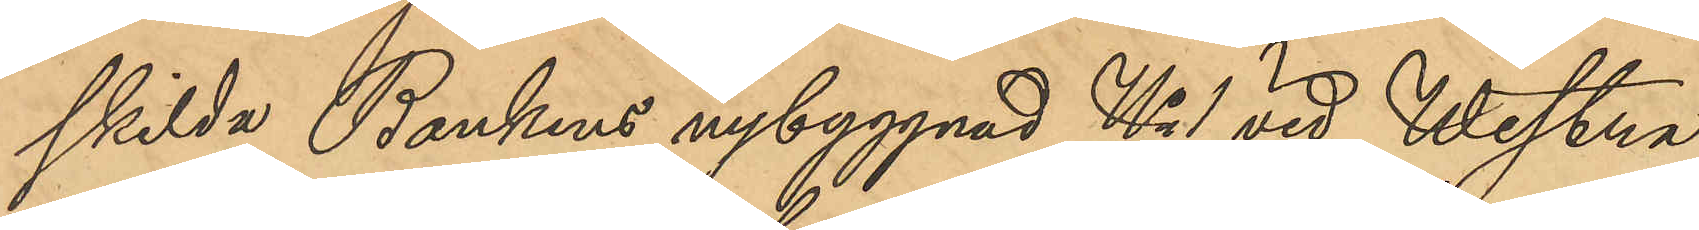skilda Bankens nybyggnad No 1 vid Westra
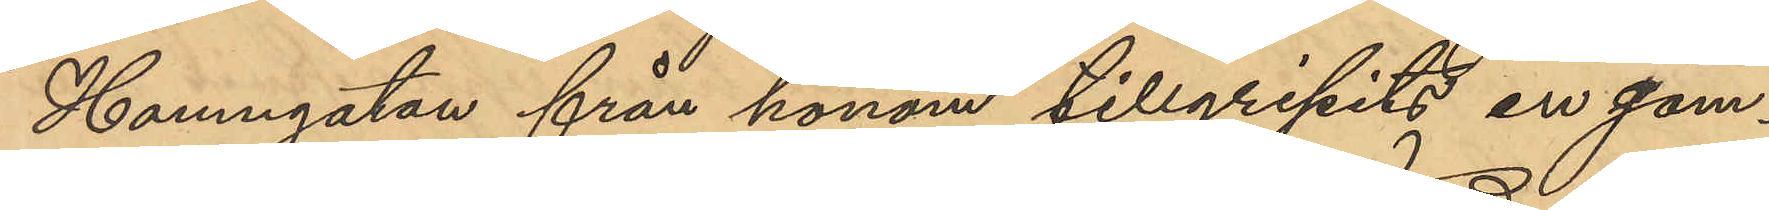Hamngatan från honom tillgripits en gam¬
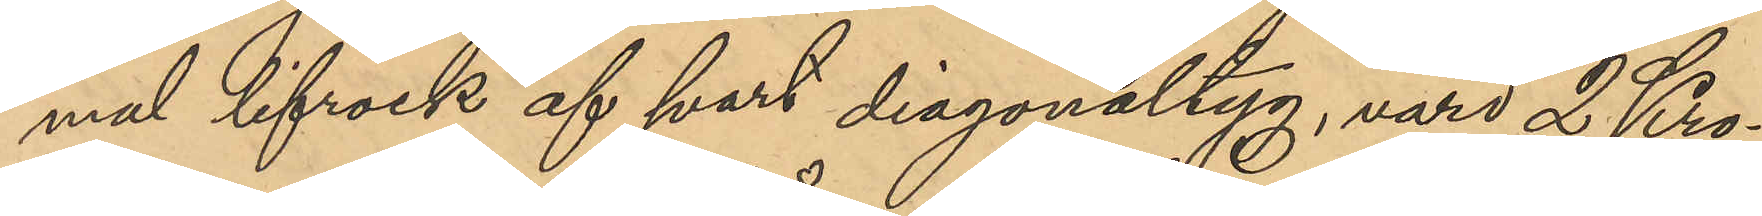mal lifrock af svart diagonaltyg, värd 2 Kro¬
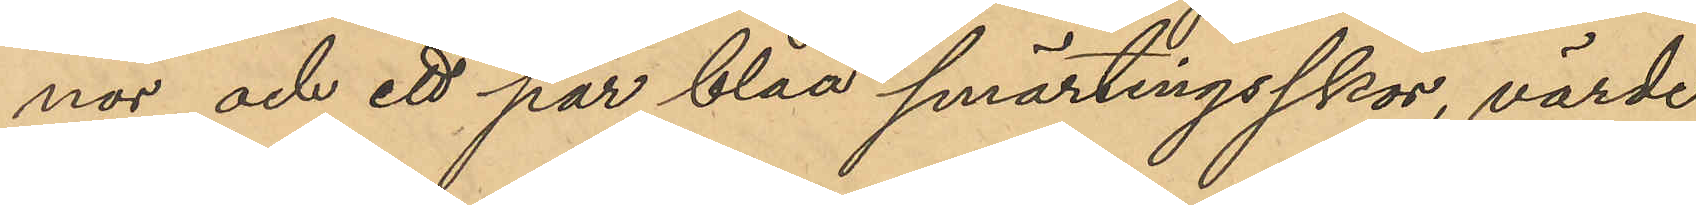nor och ett par blåa smärtingskor, värde
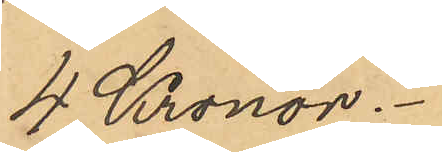4 Kronor.
